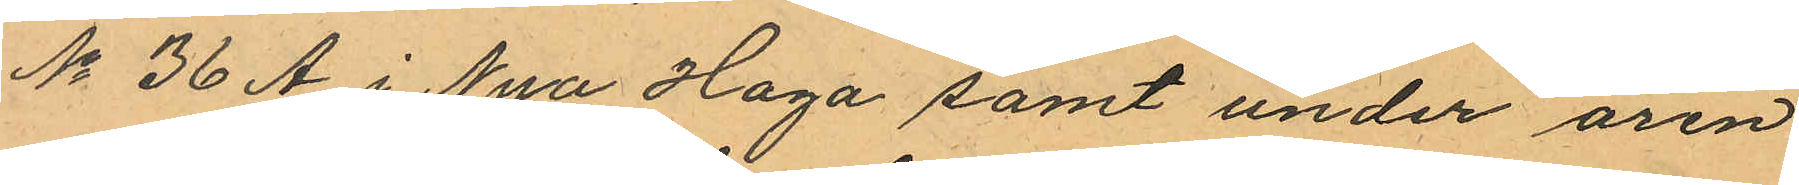No 36 A i Nya Haga samt under åren
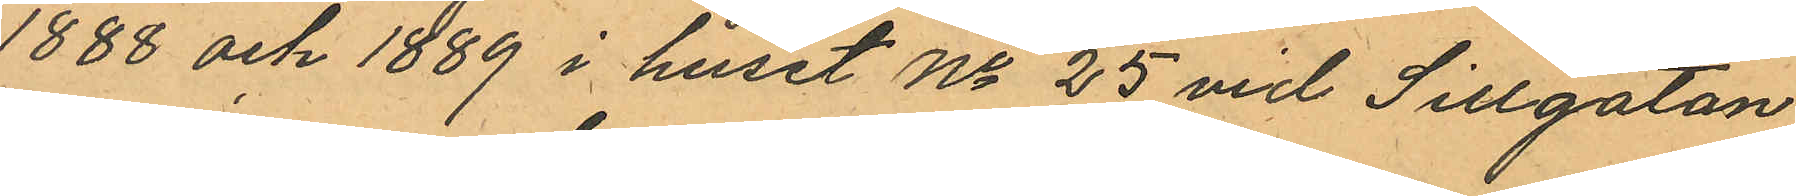1888 och 1889 i huset No 25 vid Sillgatan
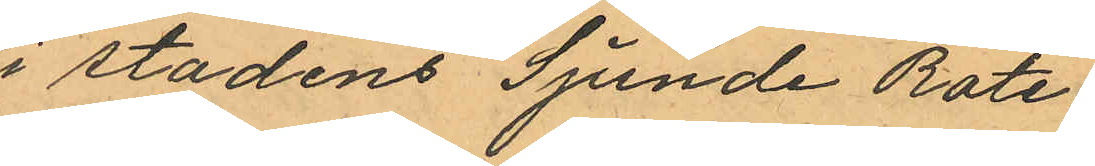i stadens Sjunde Rote.
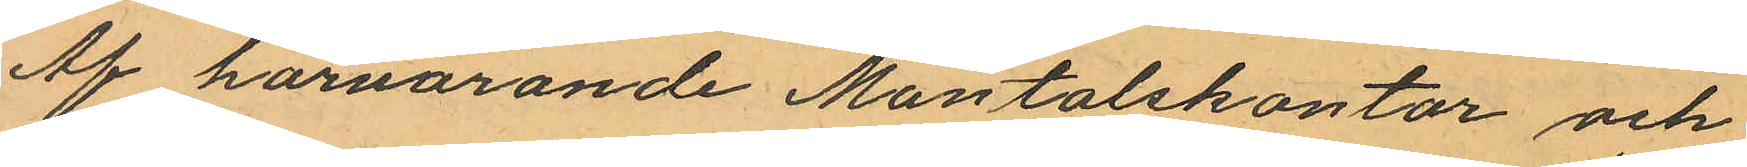Af härvarande Mantalskontor och
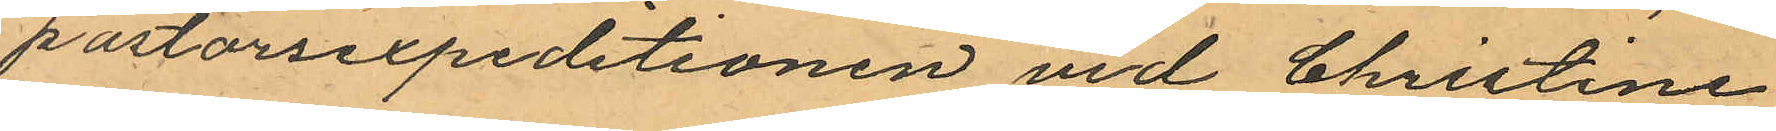pastorsexpeditionen vid Christine
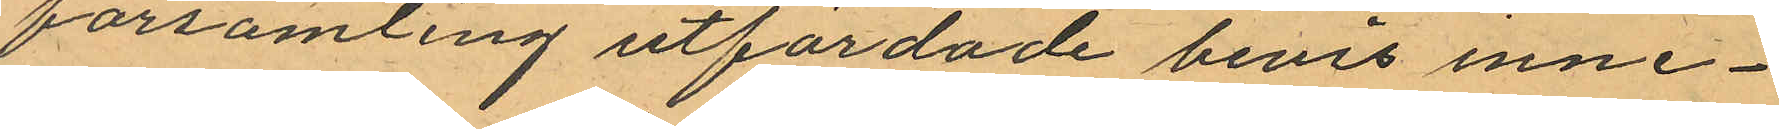församling utfärdade bevis inne¬
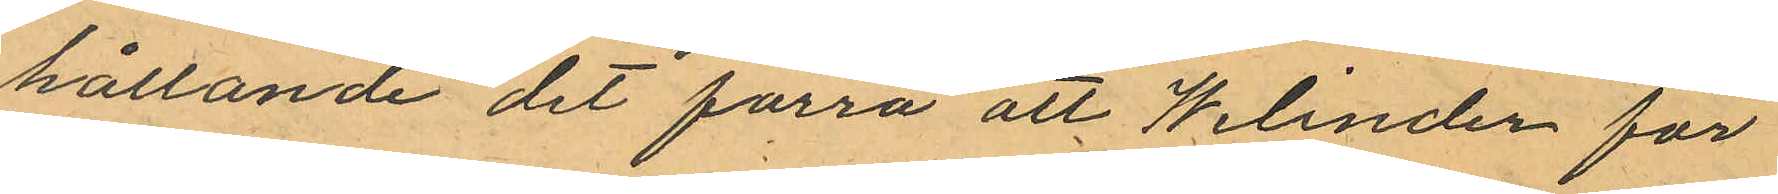hållande det förra att Welinder för
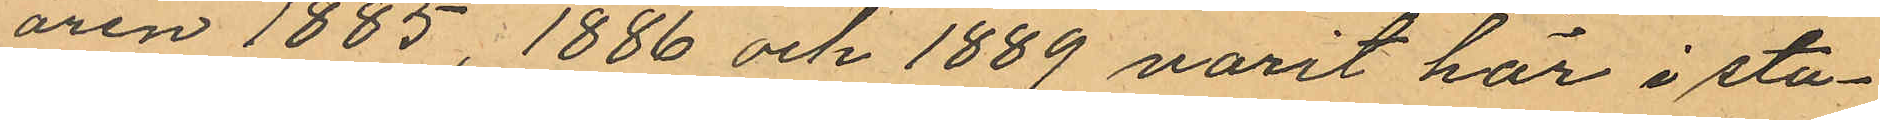åren 1885, 1886 och 1889 varit här i sta¬
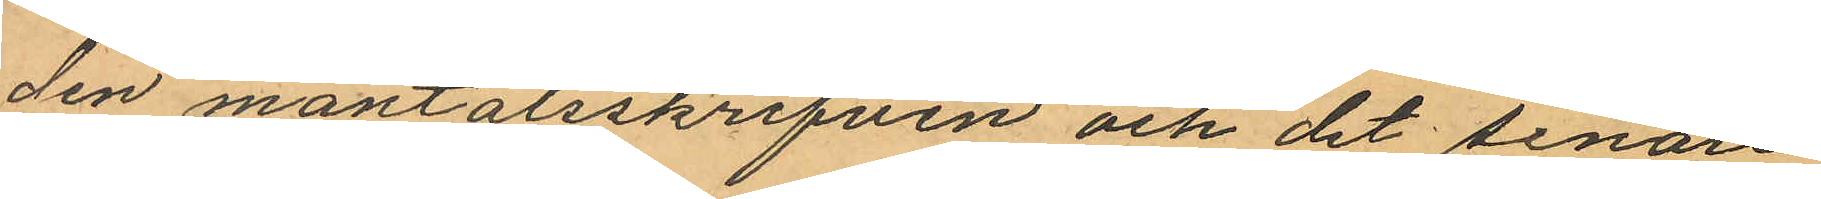den mantalsskrifven och det senare
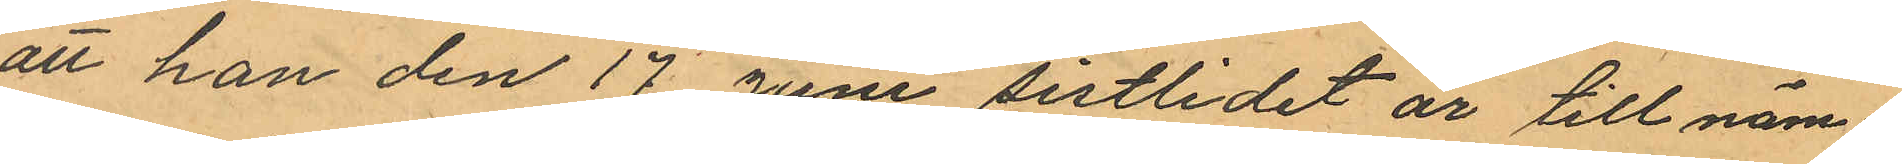att han den 17 Juni sistlidet år till näm¬
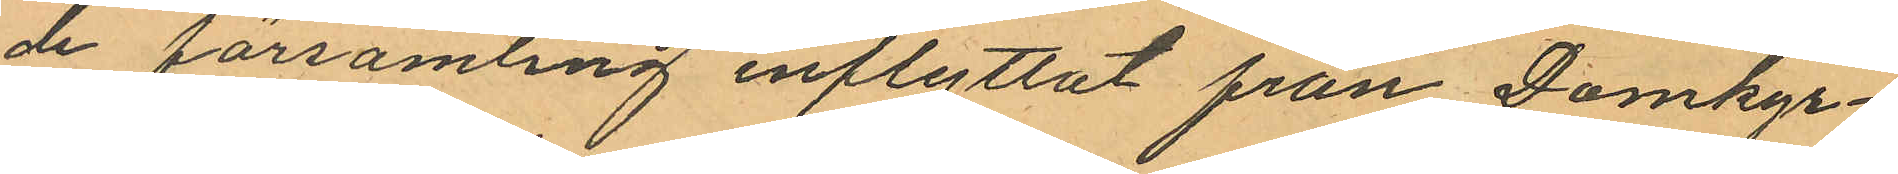de församling inflyttat från Domkyr¬
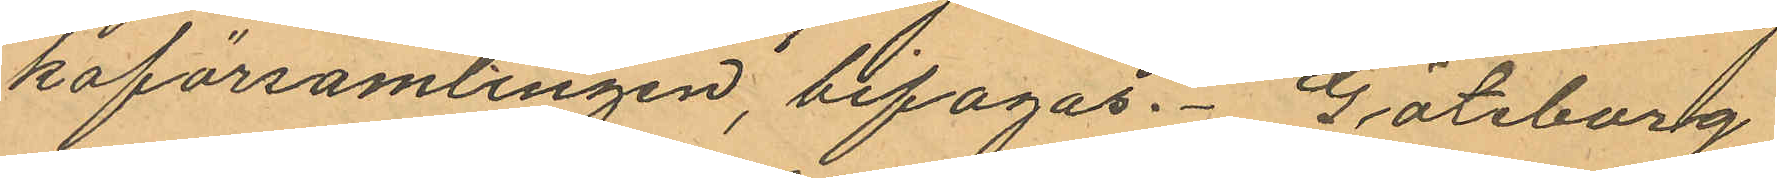koförsamlingen, bifogas. Göteborg
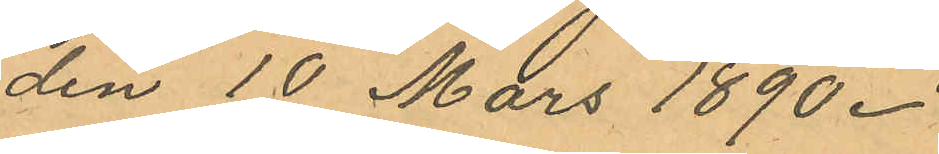den 10 Mars 1890.
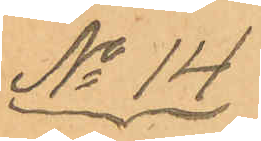No 14
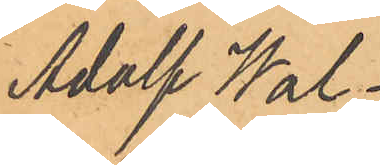Adolf Wal¬
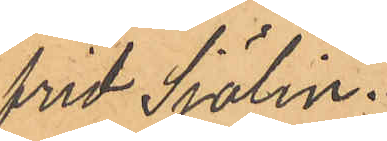frid Sjölin.
